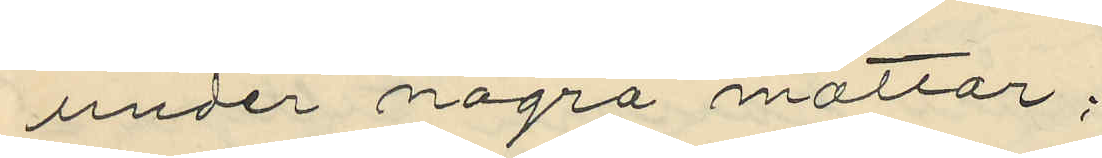under några mattor;
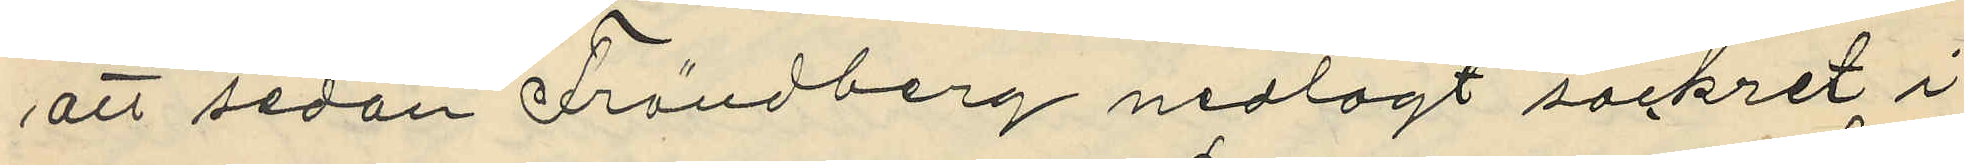att sedan Frändberg nedlagt sockret i
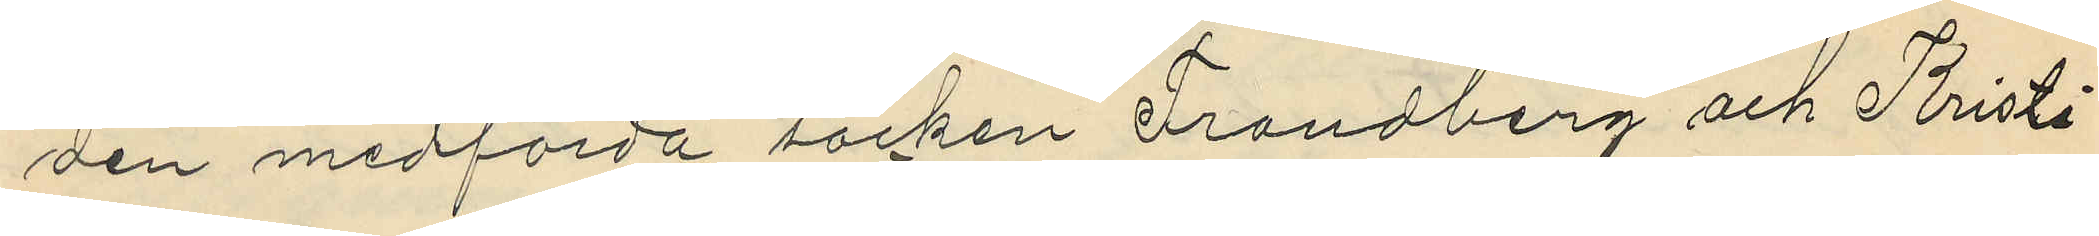den medförda säcken Frändberg och Kristi¬
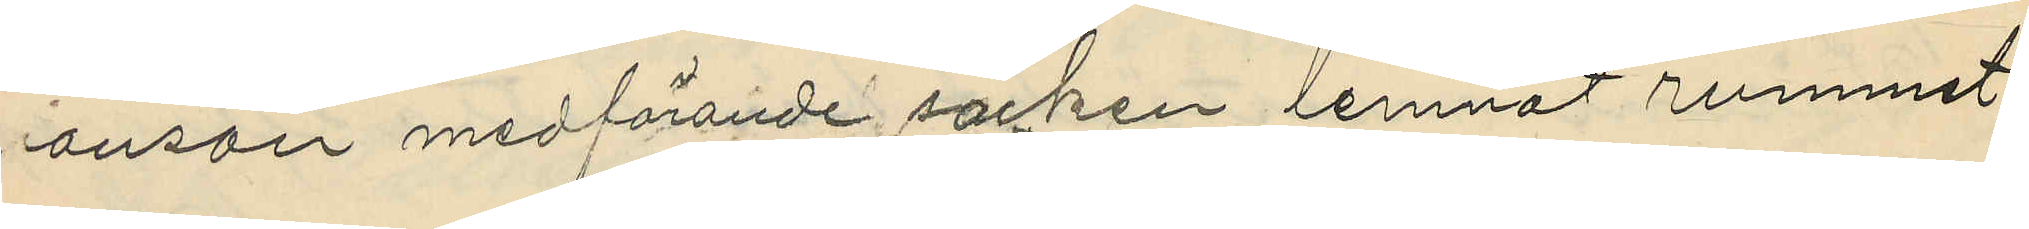ansson medförande sockret lemnat rummet
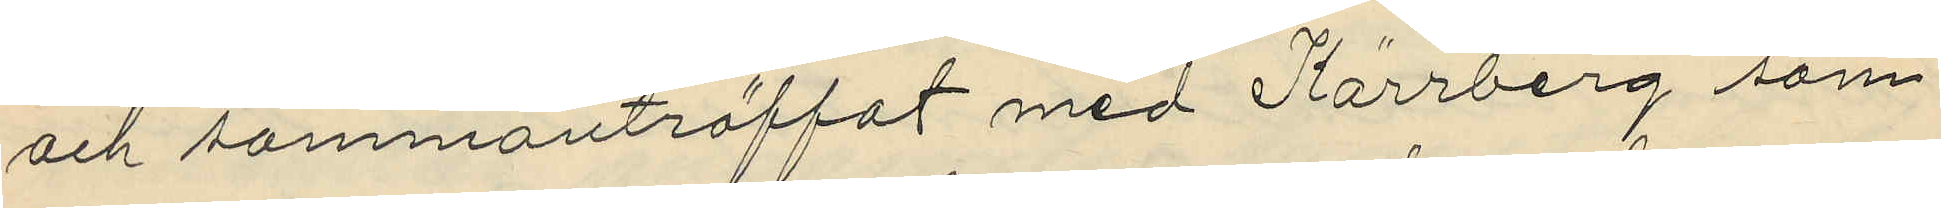och sammanträffat med Kärrberg som
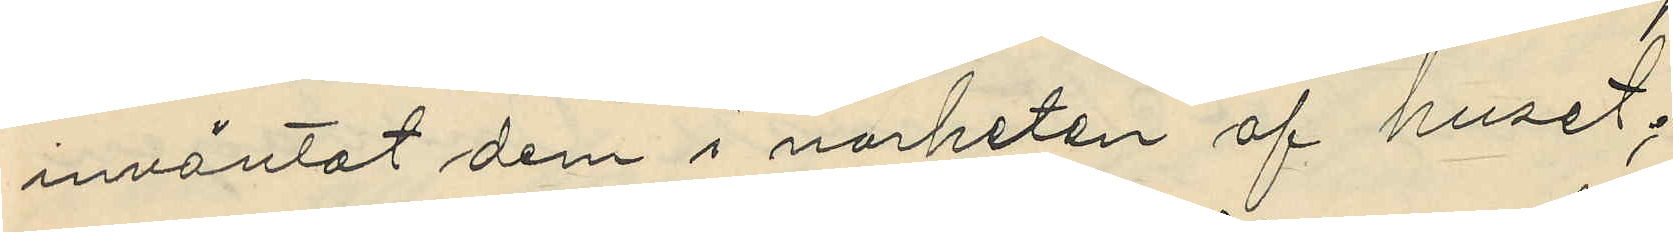inväntat dem i närheten af huset;
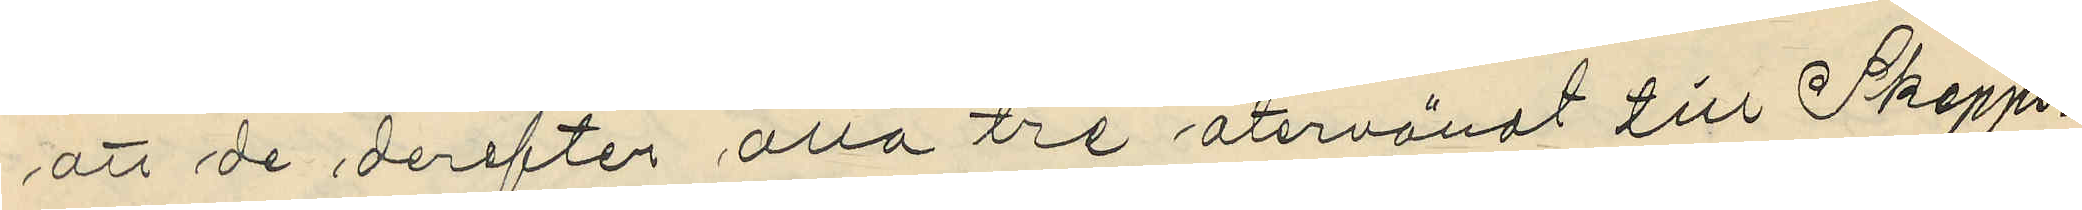att de derefter alla tre återvändt till Skepps¬
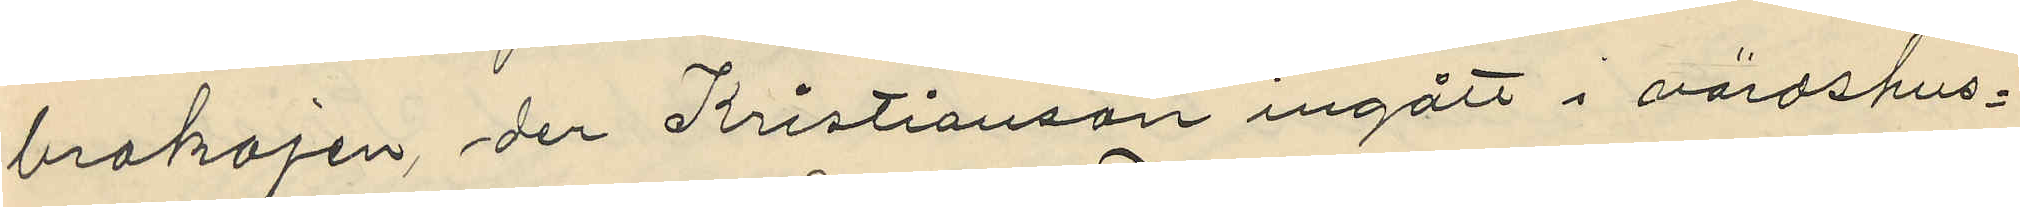brokajen, der Kristianson ingått i värdshus¬
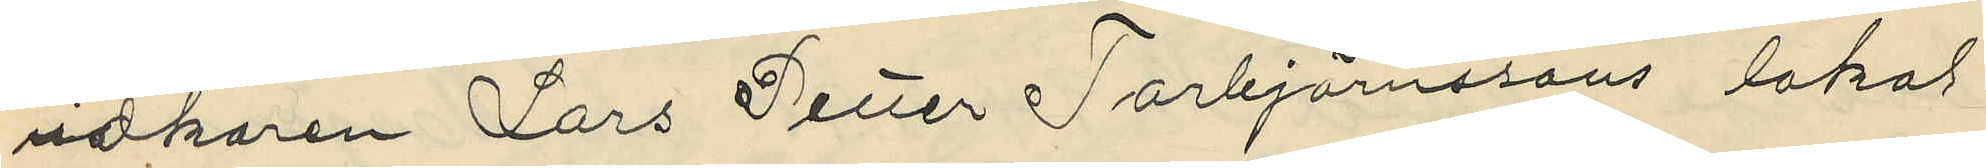idkaren Lars Petter Torbjörnssons lokal
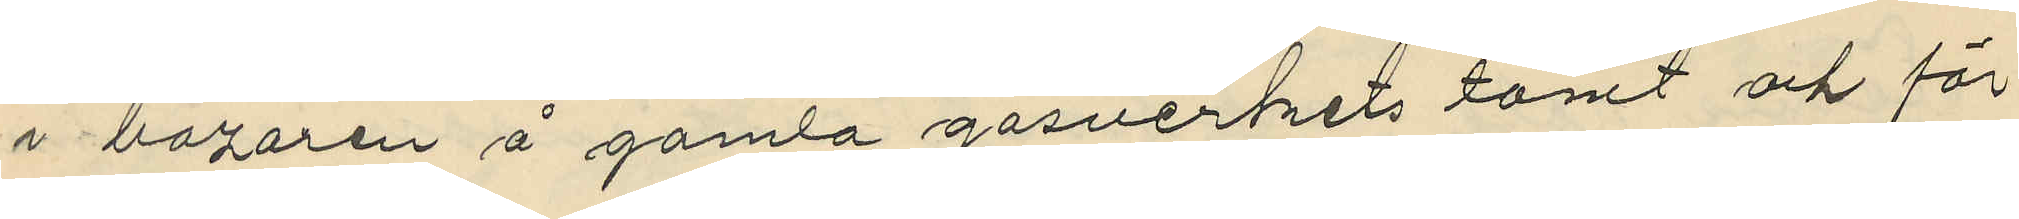i bazaren å gamla gasverkets tomt och för
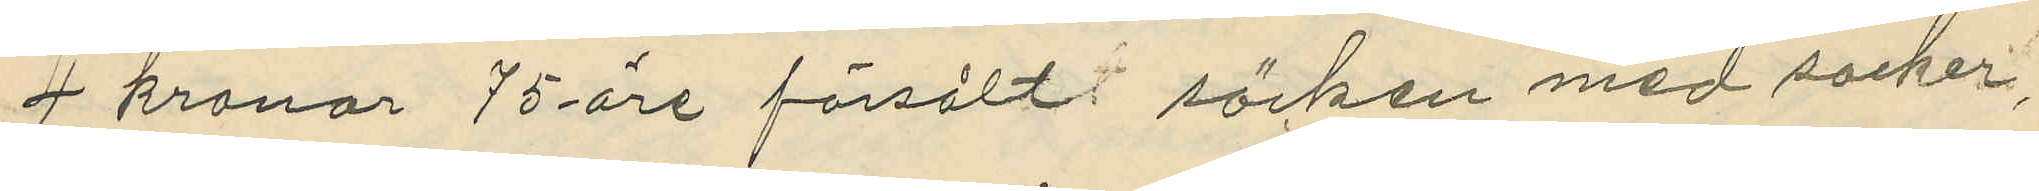4 kronor 75 öre försålt säcken med socker,
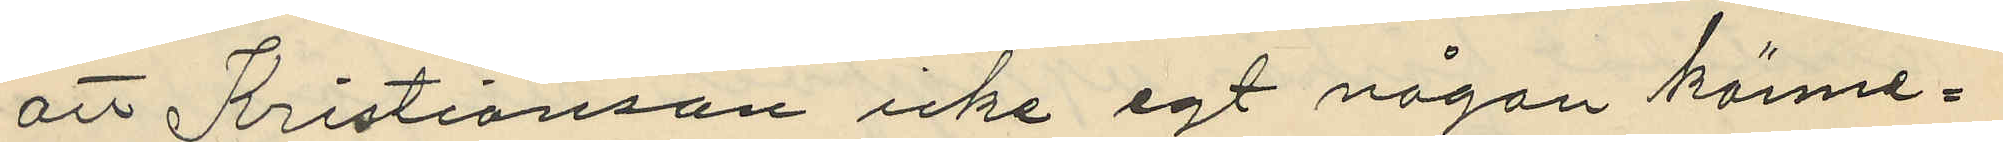att Kristianson icke egt någon känne¬
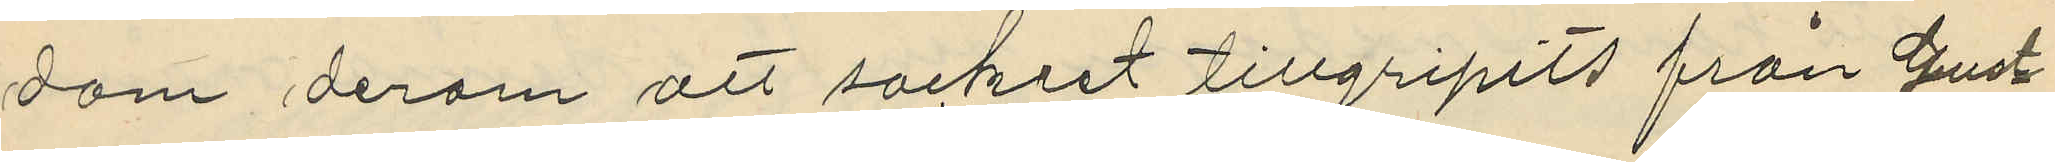dom derom att säckert tillgripits från Gust¬
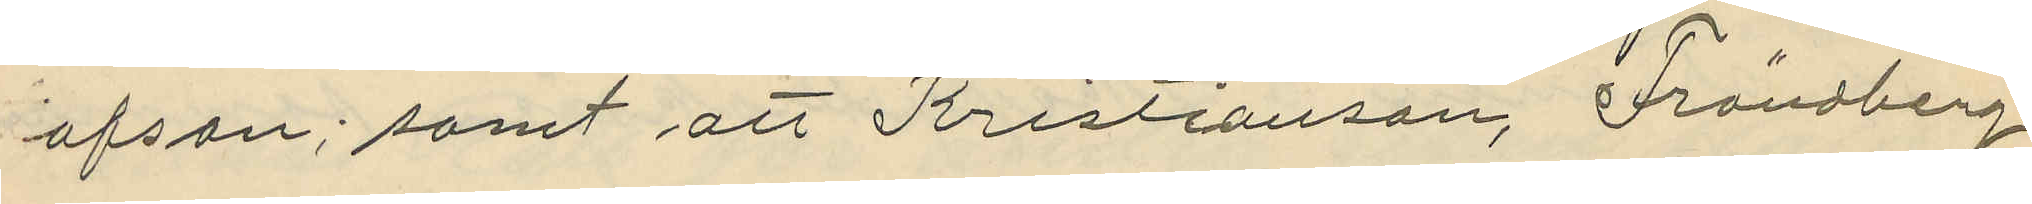afson; samt att Kristianson, Frändberg
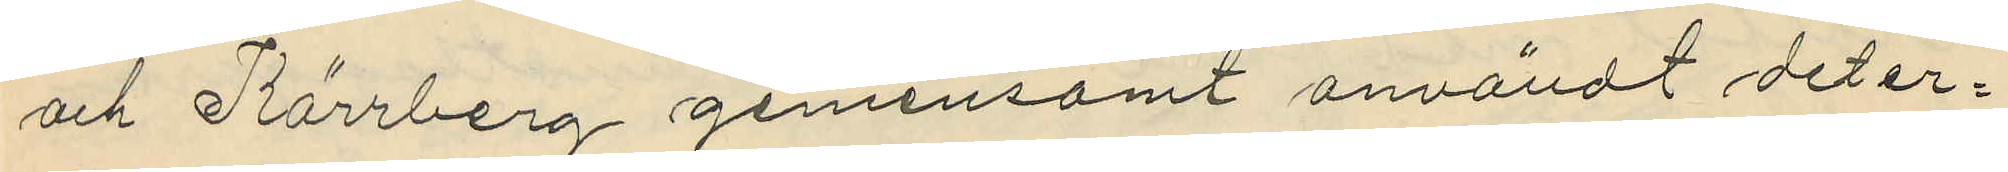och Kärrberg gemensamt användt det er¬
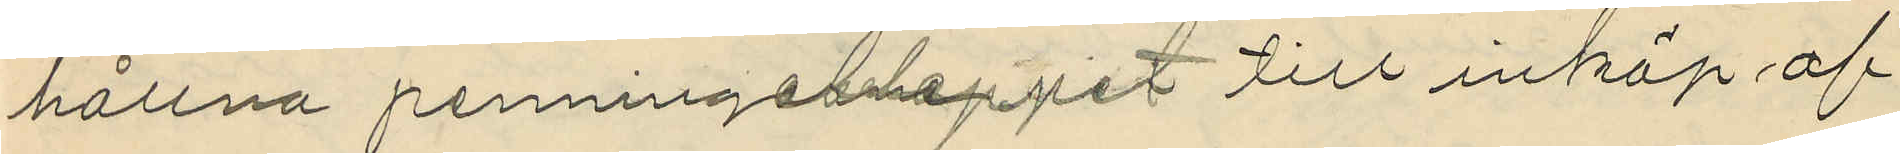hållna penningsbeloppet till inköp af
